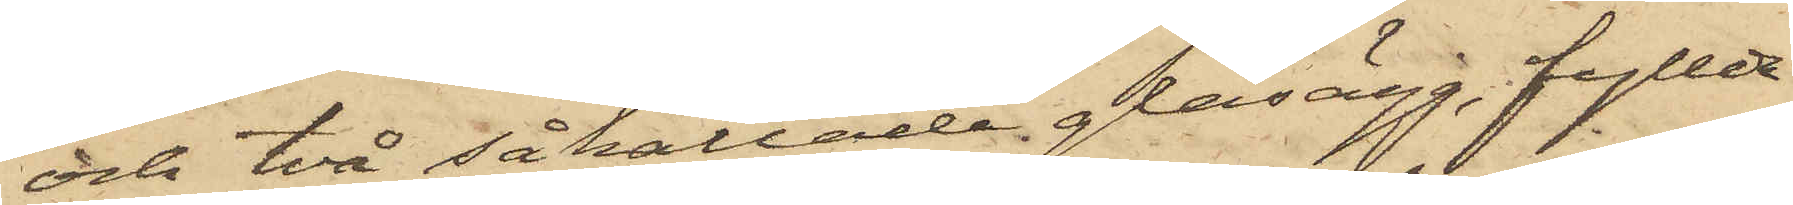och två såkallade glasägg, fyllda
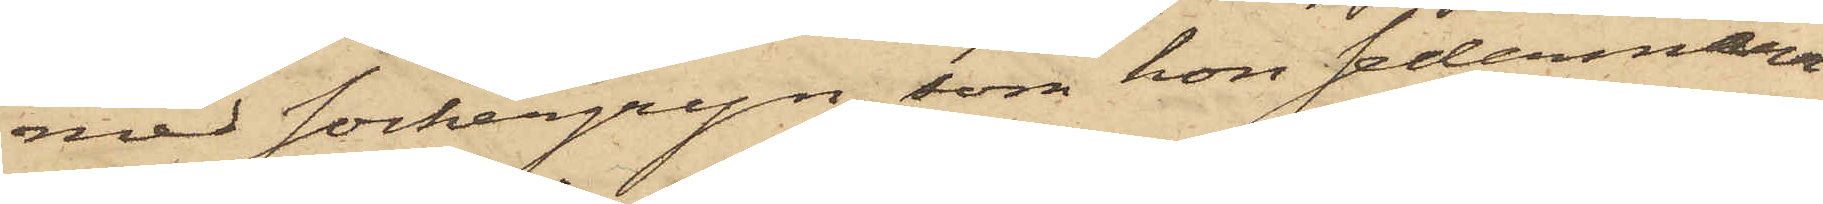med sockergryn, som hon sedermera
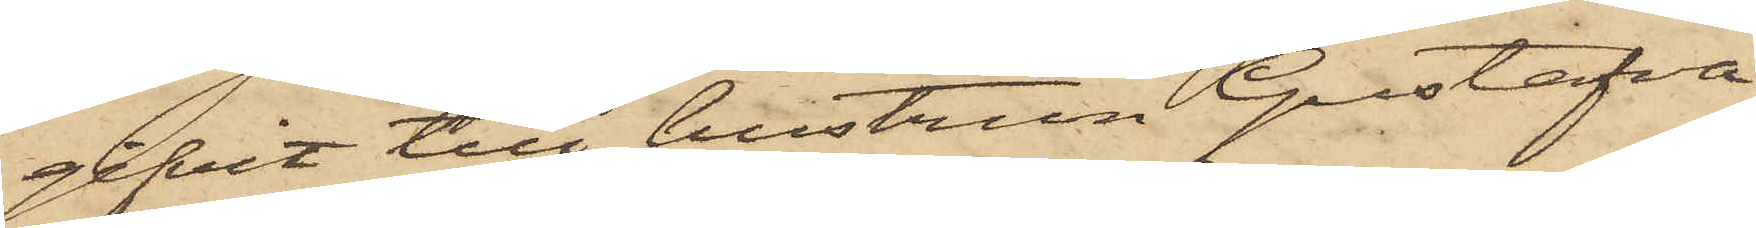gifvit till hustrun Gustafva
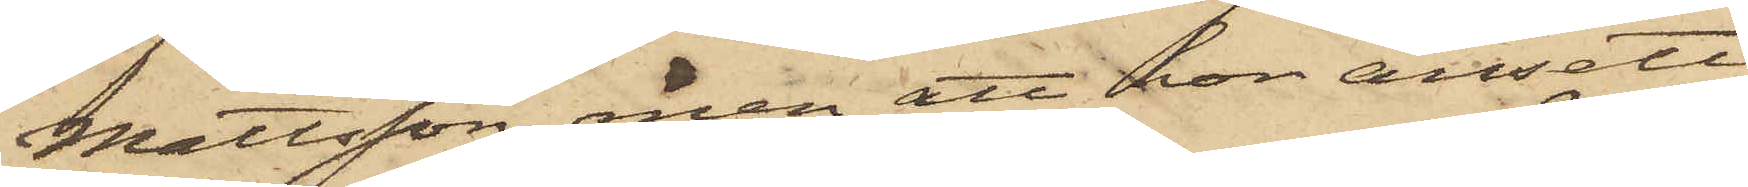Mattsson, men att hon ansett
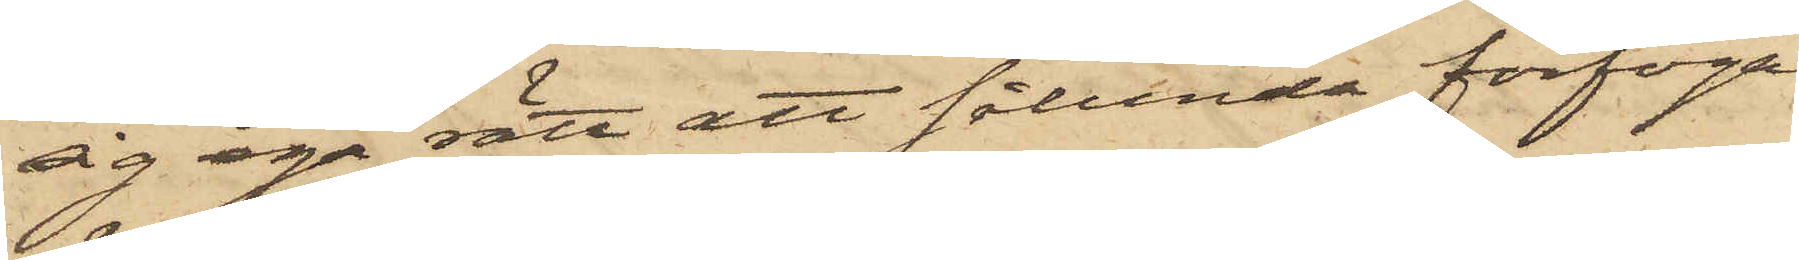sig ega rätt att sålunda förfoga
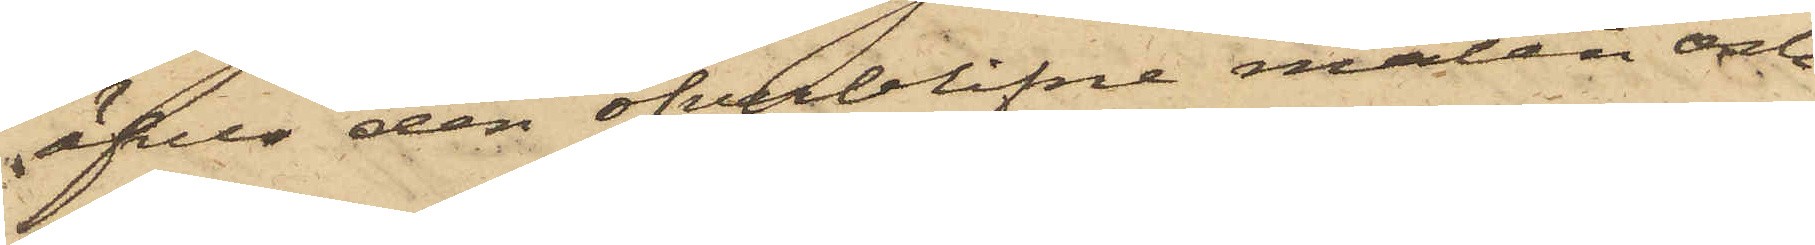öfver den öfverblifne maten och
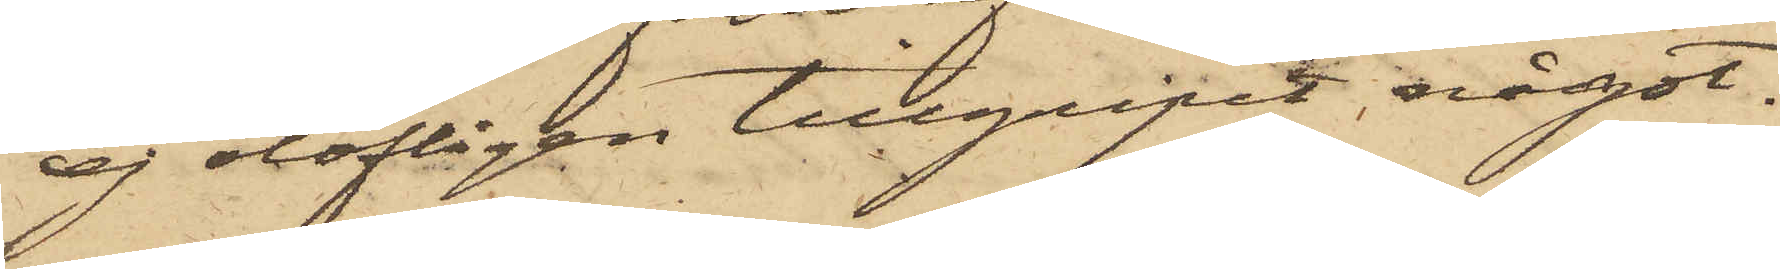ej olofligen tillgripit något.
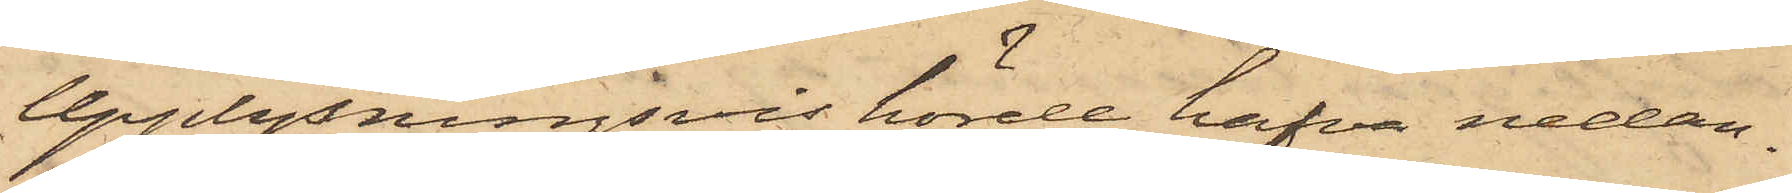upplysningsvis hörde hafva nedan¬
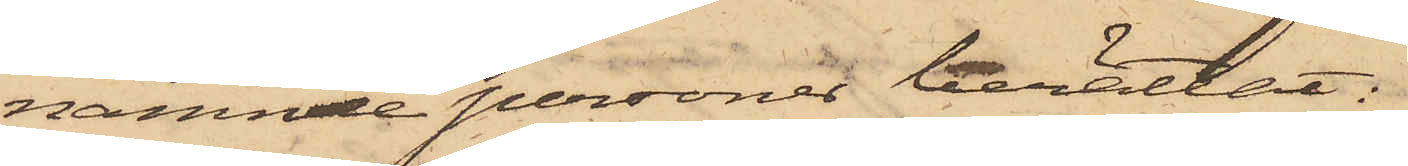nämnde personer berättat:
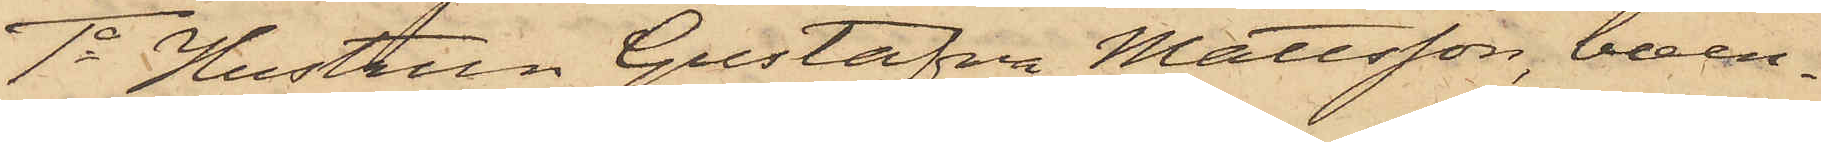1o Hustrun Gustafva Mattsson, boen¬
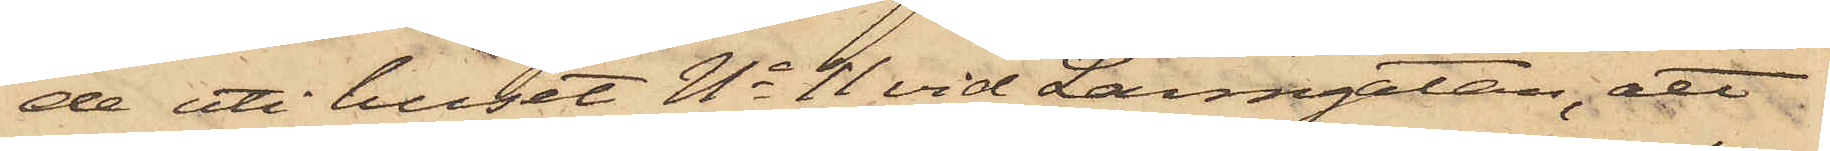de uti huset No 11 vid Larmgatan, att
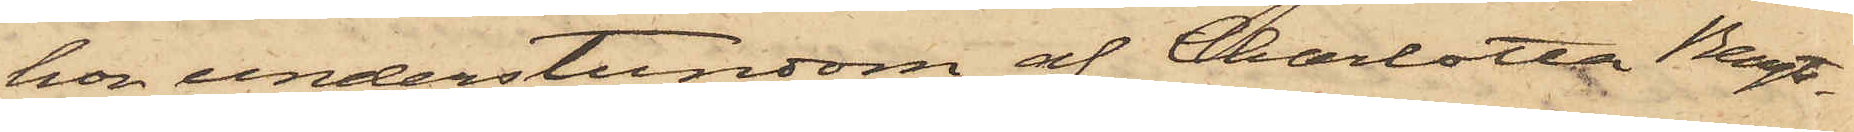hon understundom af Charlotta Bengts¬
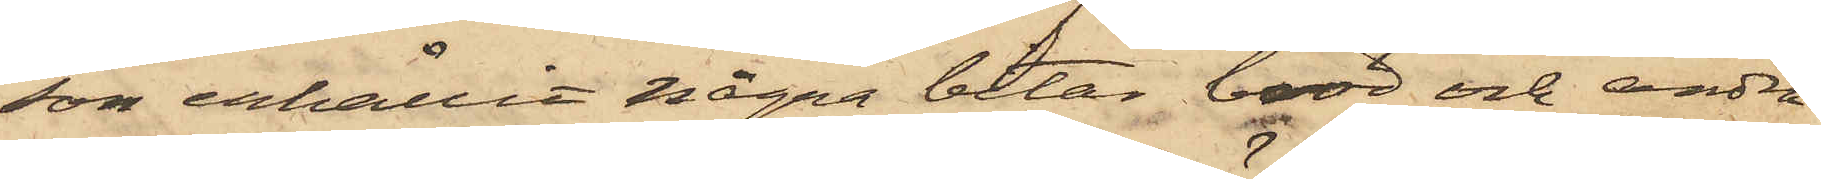son erhållit några bitar bröd och andra
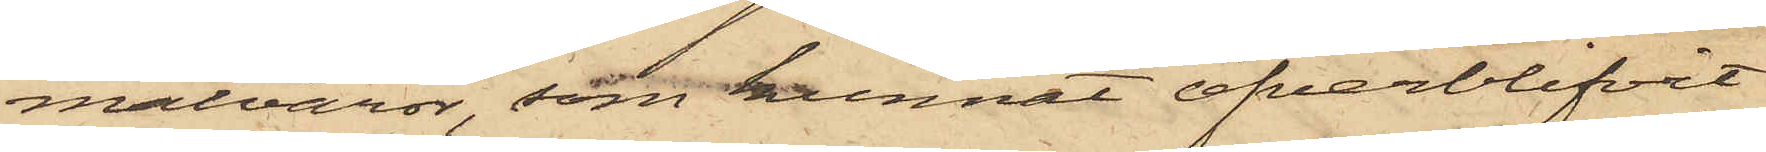matvaror, som kunnat öfverblifvit
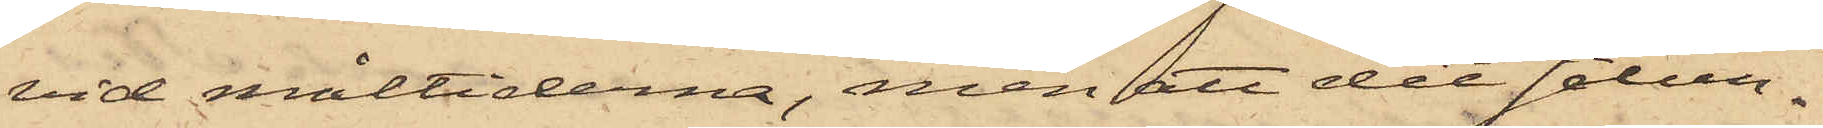vid måltiderna, men att det sålun¬
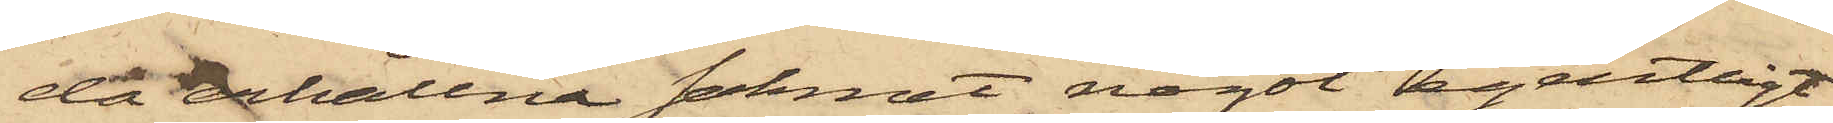da erhållna saknat något egentligt
